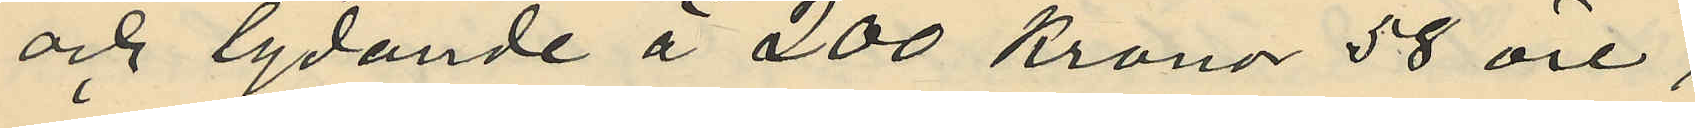och lydande å 200 Kronor 58 öre;
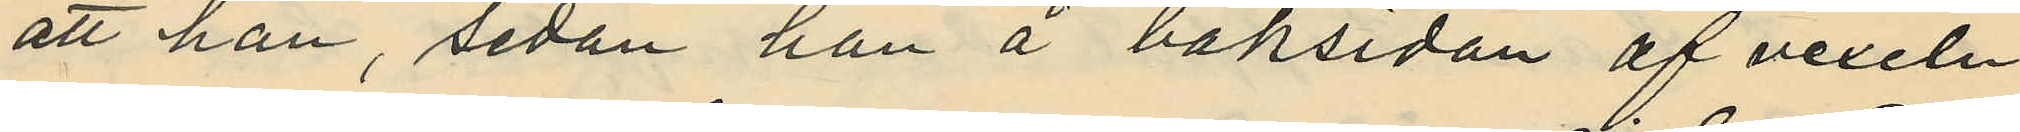att han, sedan han å baksidan af vexeln
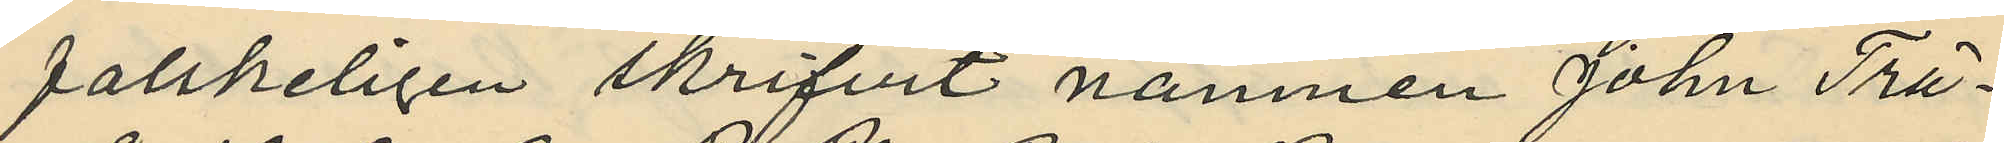falskeligen skrifvit namnen John Trä¬
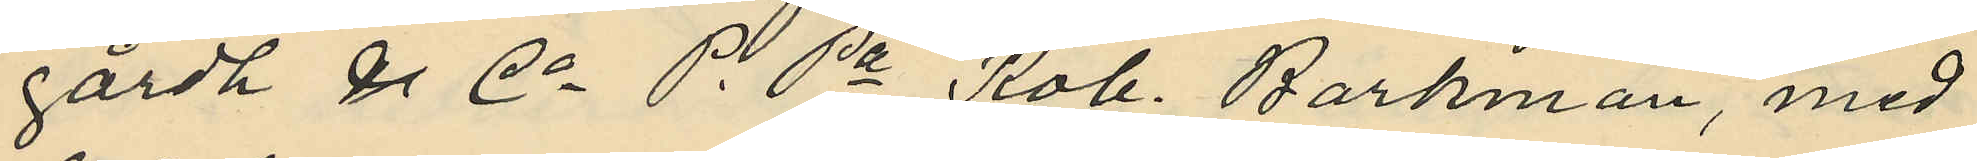gårdh & Co P. Pa Rob. Barkman, med
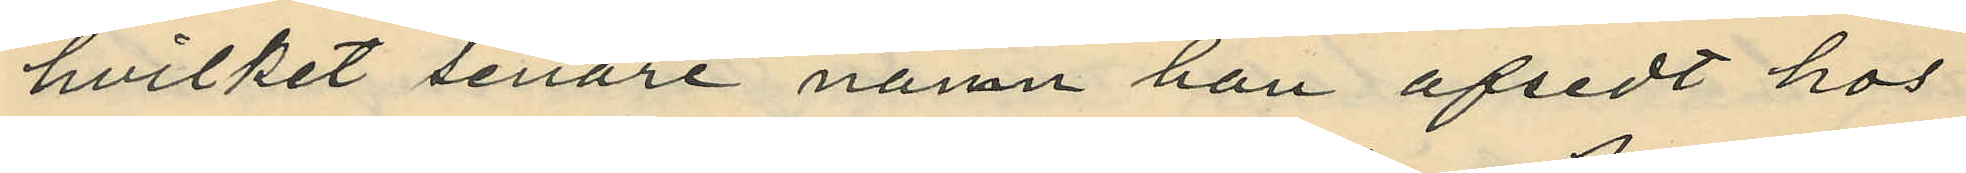hvilket senare namn han afsedt hos
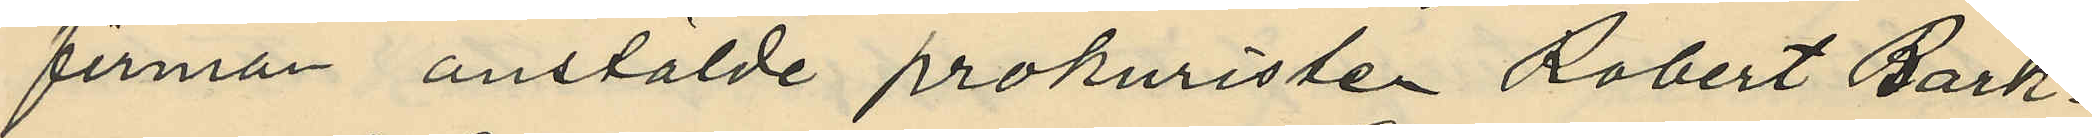firman anstälde prokuristen Robert Bark¬
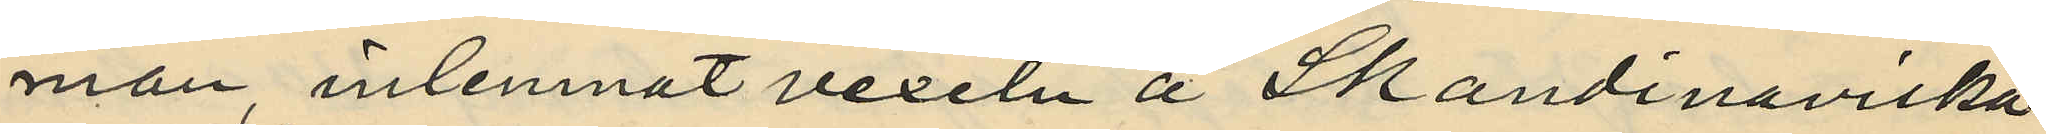man, inlemnat vexeln å Skandinaviska
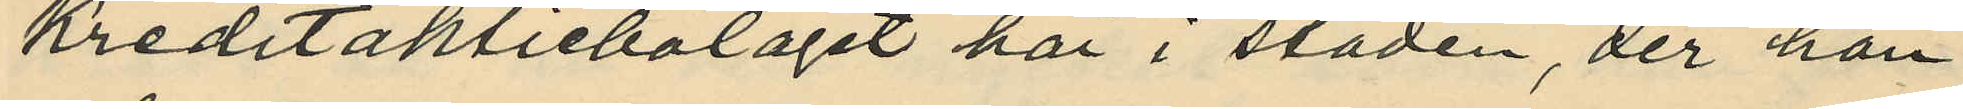Kreditaktiebolaget här i staden, der han
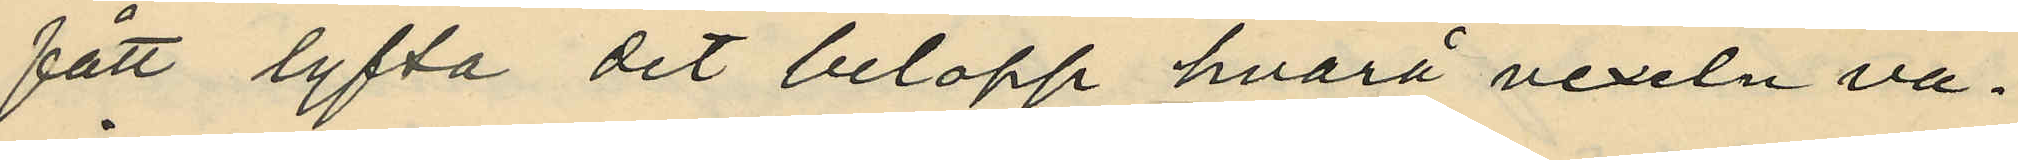fått lyfta det belopp hvarå vexeln va¬
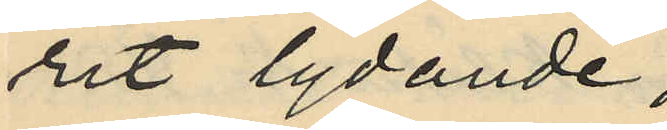rit lydande;
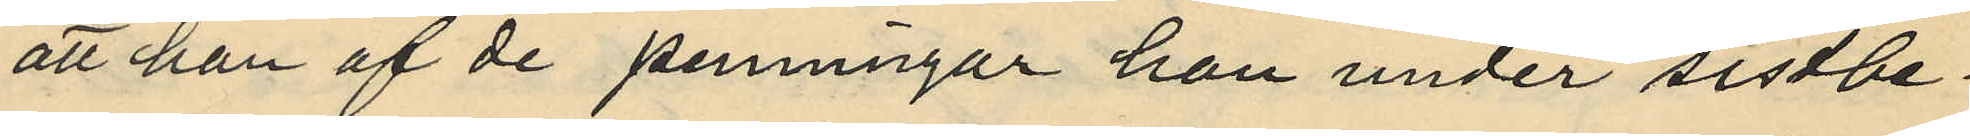att han af de penningar han under sistbe¬
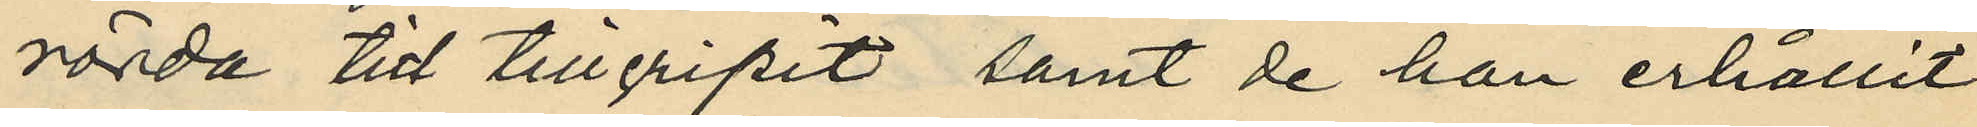rörda tid tillgripit samt de han erhållit
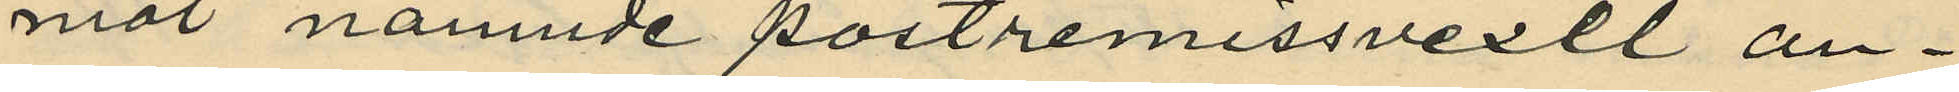mot nämnde postremissvexel an¬
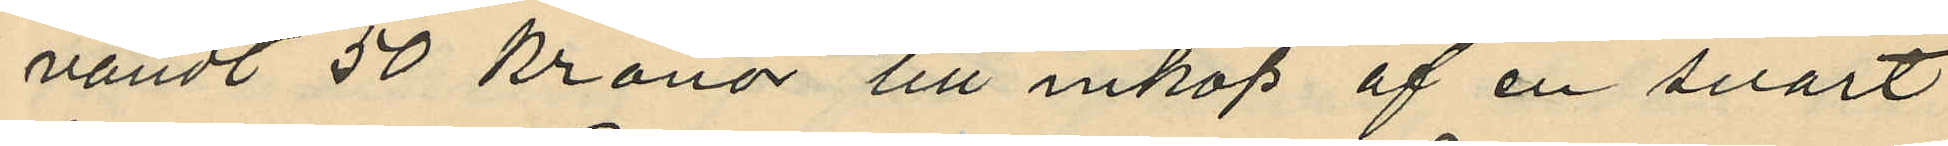vändt 50 kronor till inköp af en svart
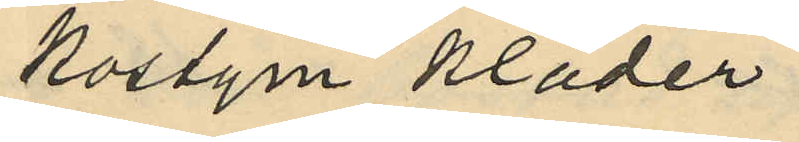kostym kläder
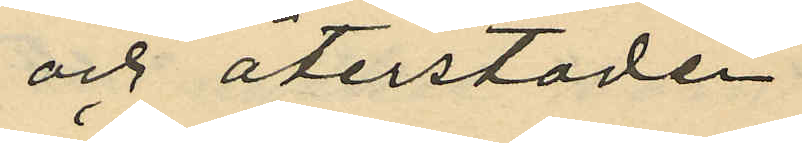och återstoden
